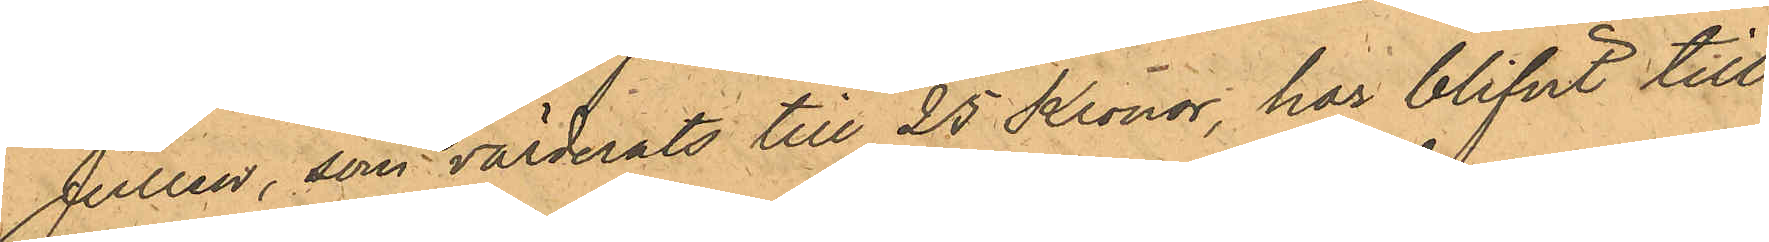Jullen, som värderats till 25 Kronor, har blifvit till
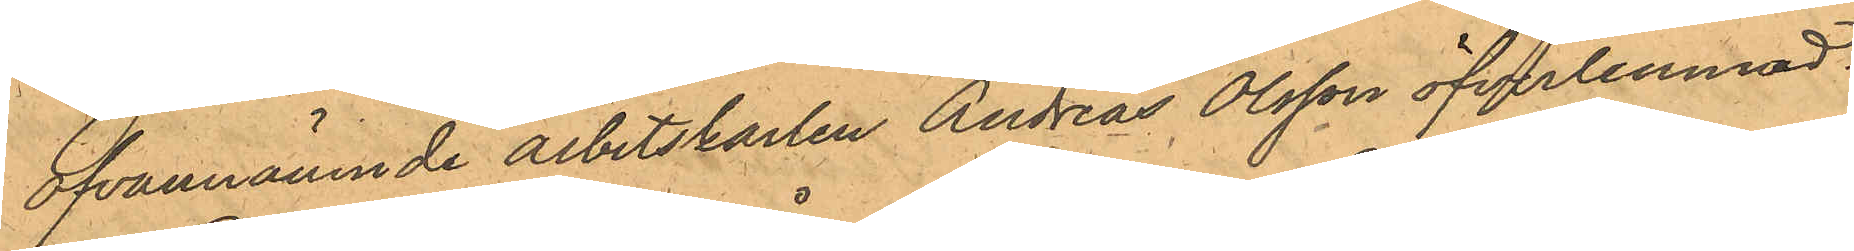ofvannämnde arbetskarlen Andreas Olsson öfverlemnad.
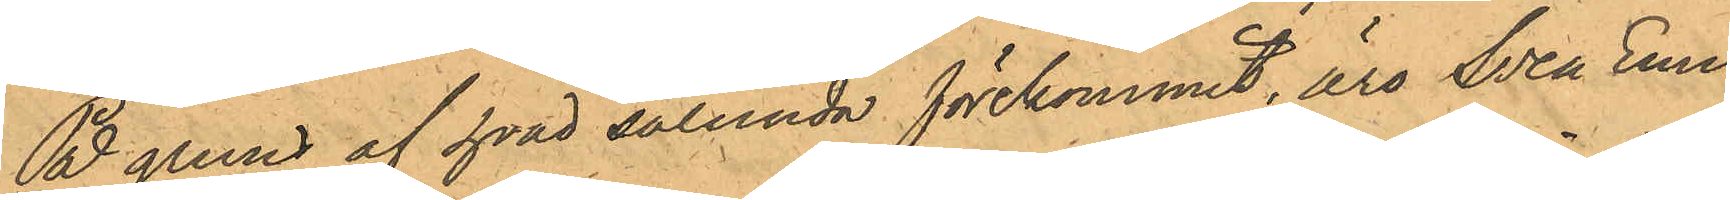På grund af hvad sålunda förekommit, äro Sven Emil
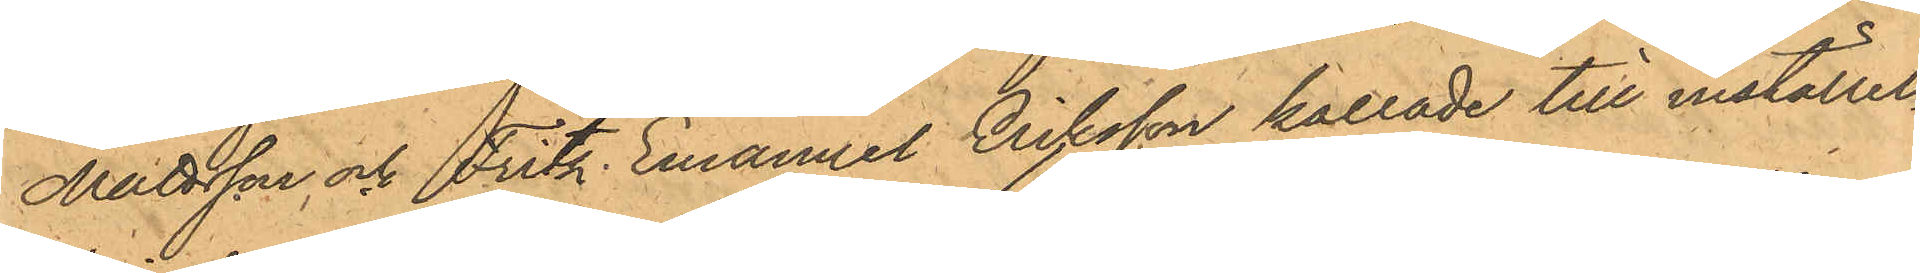Mattsson och Fritz Emanuel Eriksson kallade till inställel¬
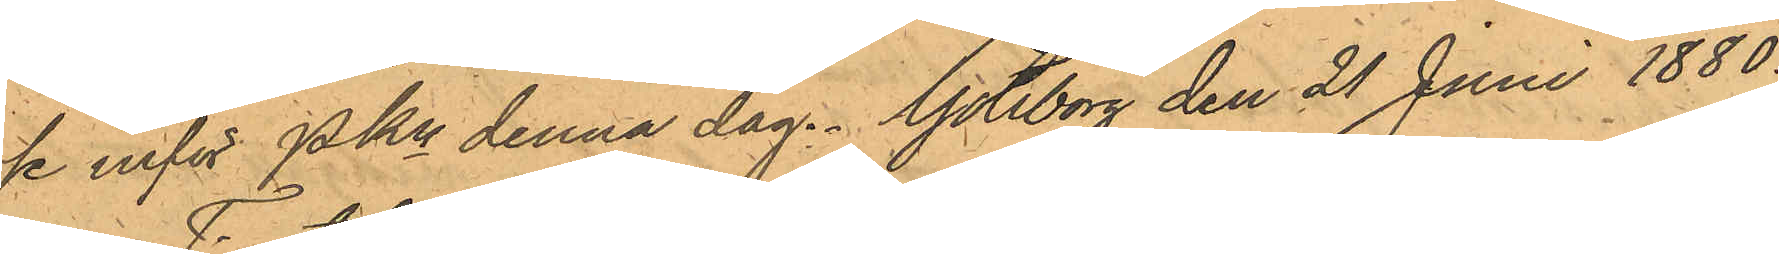te inför Pkn denna dag. Göteborg den 21 Juni 1880.
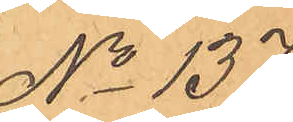No 137.
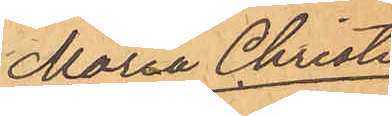Maria Christi¬
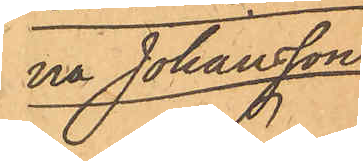na Johansson.
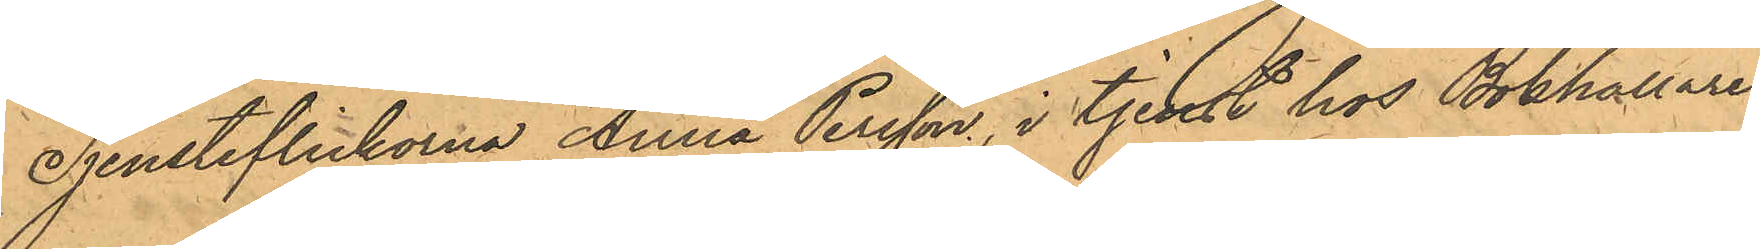Jjensteflickorna Anna Persson, i tjenst hos Bokhållaren
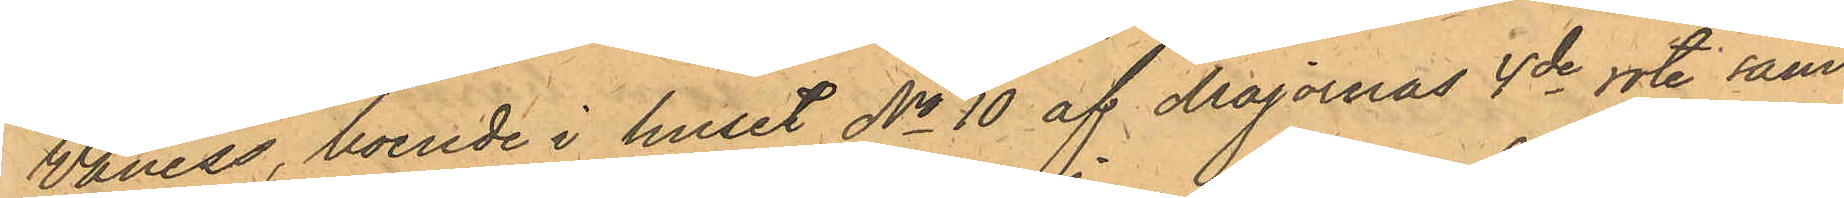Vaness, boende i huset No 10 af Majornas 4de rote samt
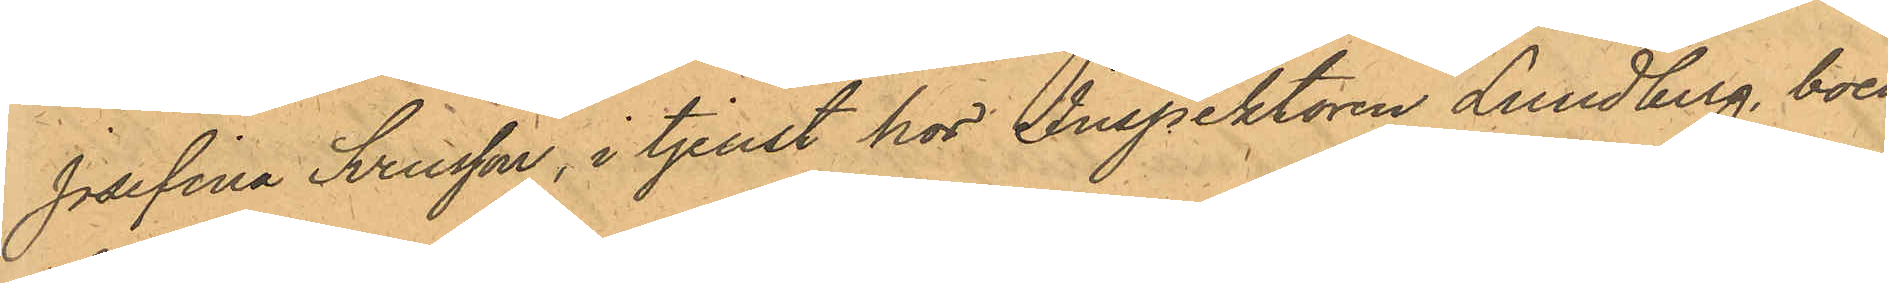Josefina Svensson, i tjenst hos Inspektören Lundberg, boen¬
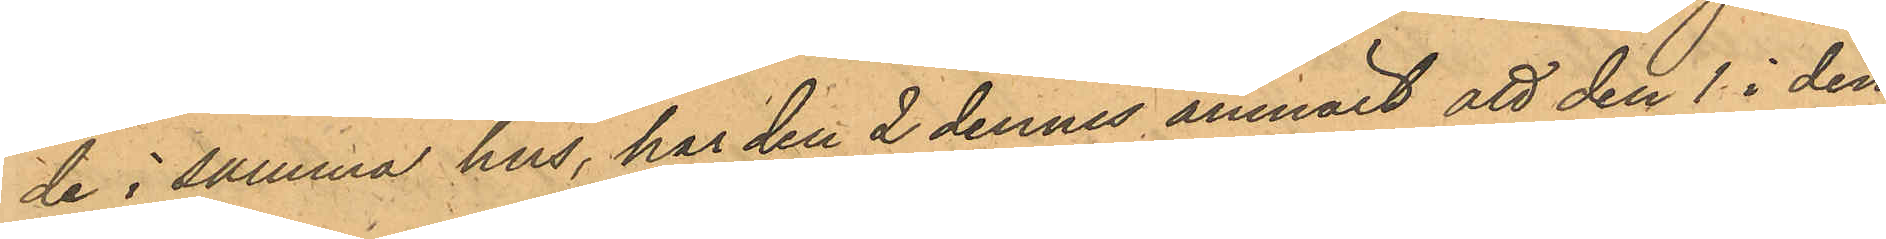de i samma hus, har den 2 dennes anmält att den 1 i den¬
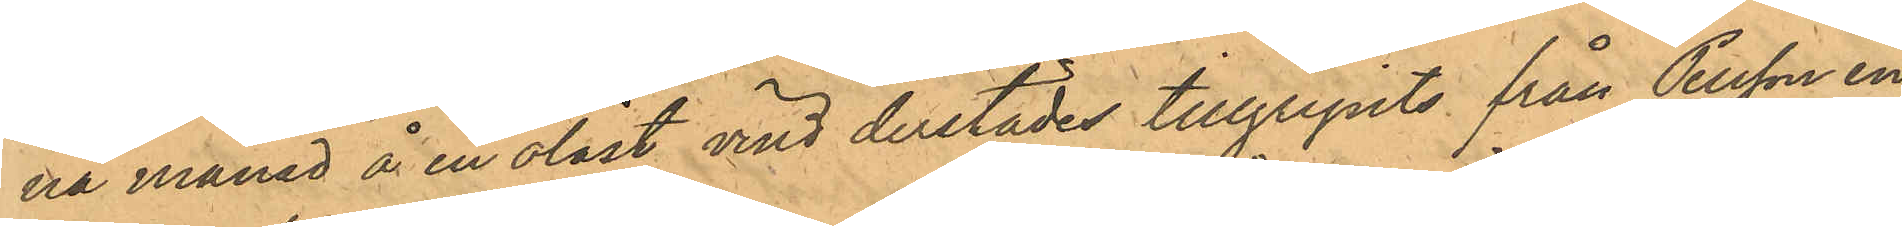na månad å en olåst vind derstädes tillgripits från Persson en
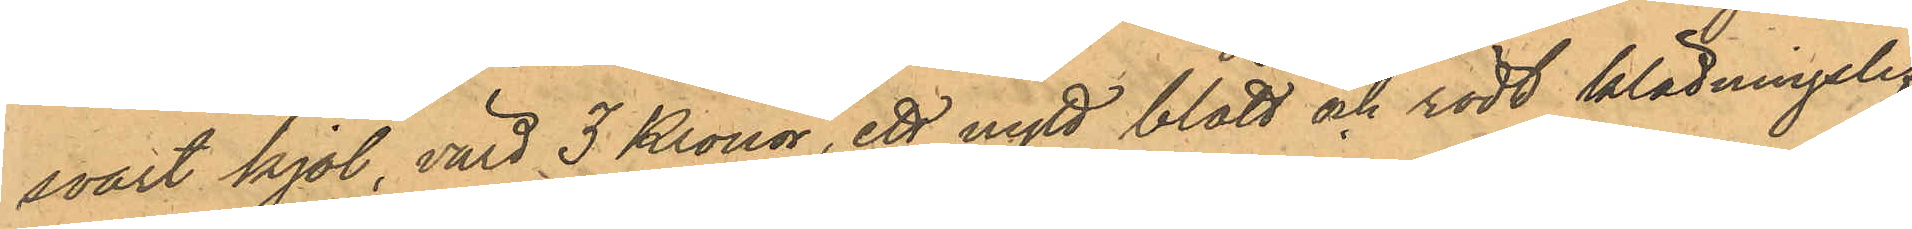svart kjol, värd 3 Kronor, ett nytt blått och rödt klädningslif,
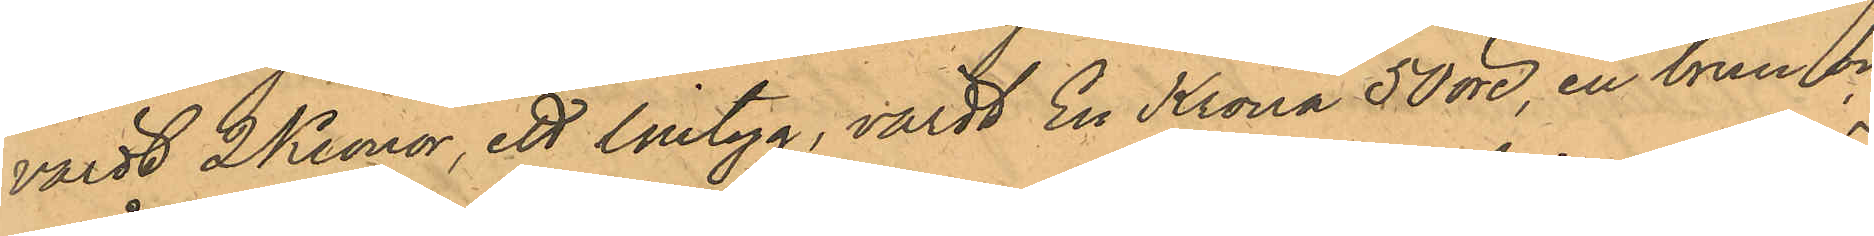värdt 2 Kronor, ett lintyg, värdt En Krona 50 öre, en brun och
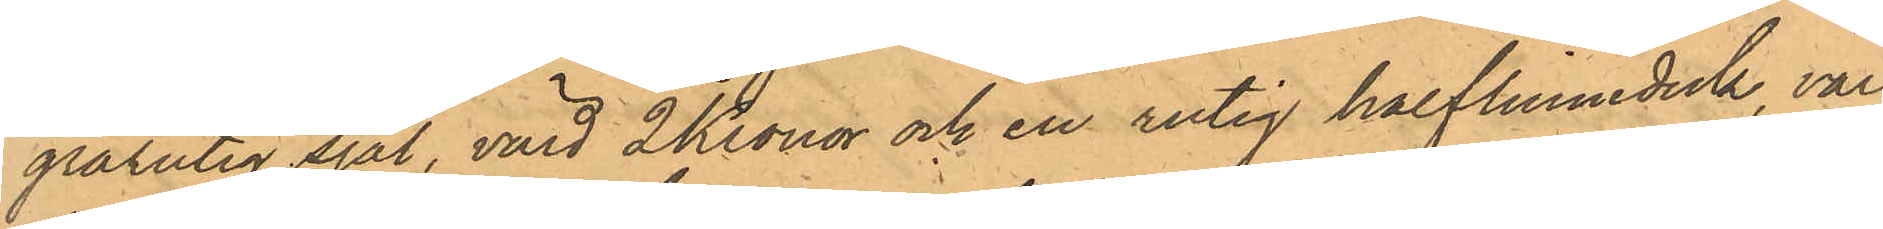grårutig sjal, värd 2 Kronor och en rutig halflinneduk, värd
